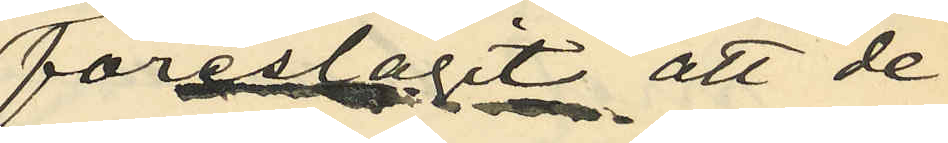föreslagit att de
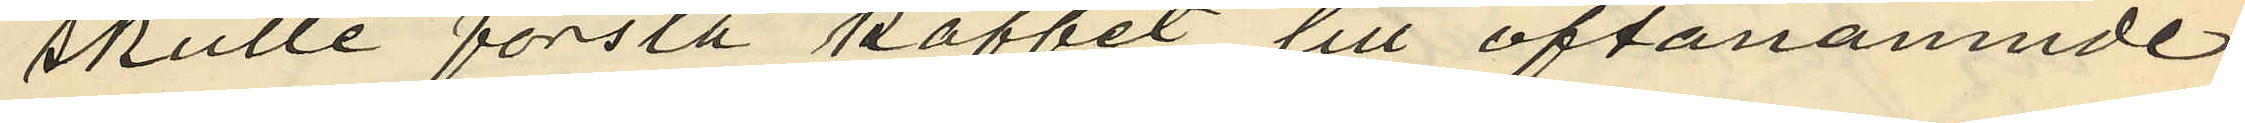skulle forsla kaffet till oftanämnde
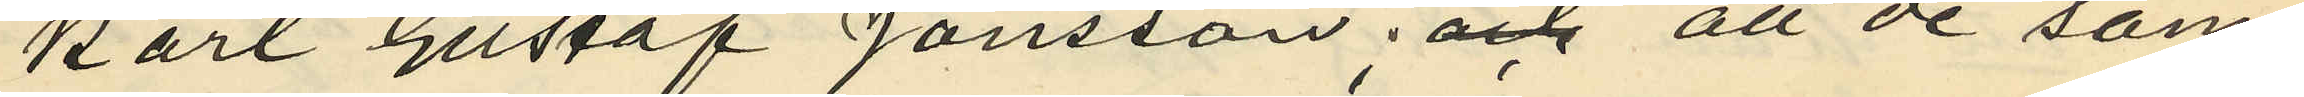Karl Gustaf Jönsson; och att de sam¬
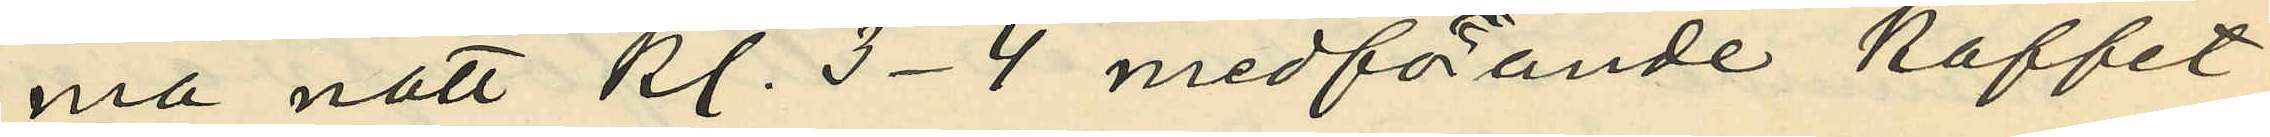ma natt kl. 3-4 medförande kaffet
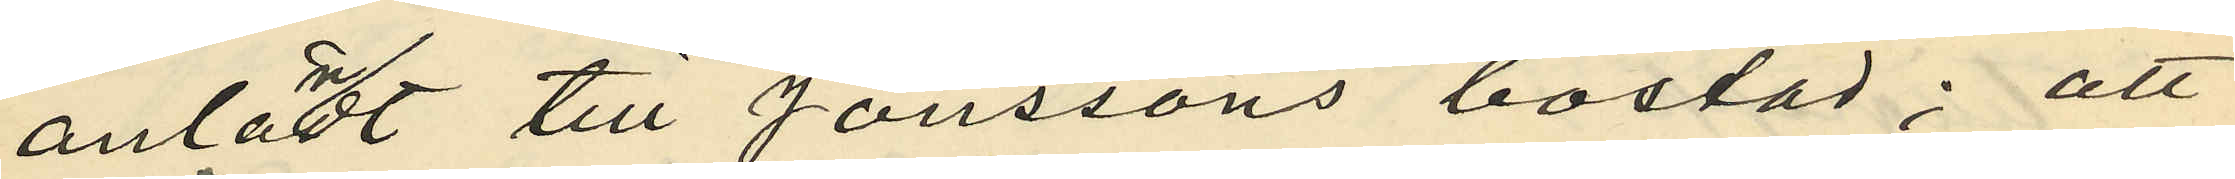anländt till Jönssons bostad; att
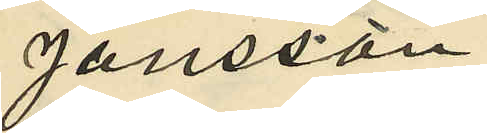Jönsson
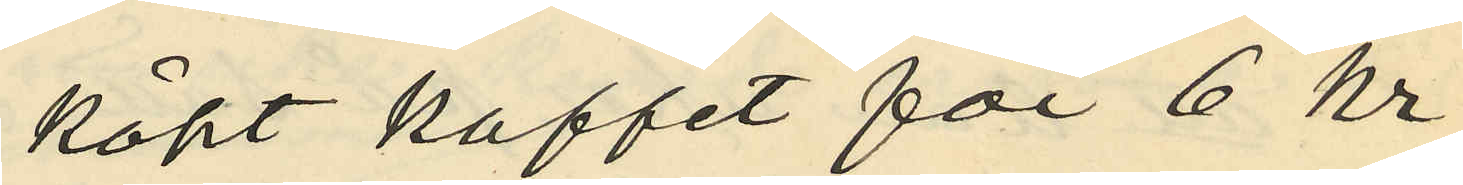köpt kaffet för 6 kr,
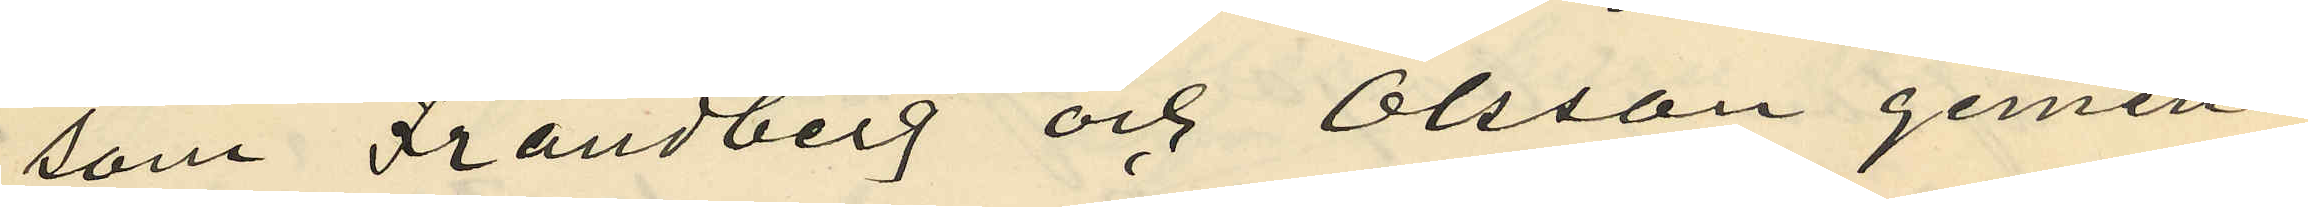som Frändberg och Olsson gemen¬
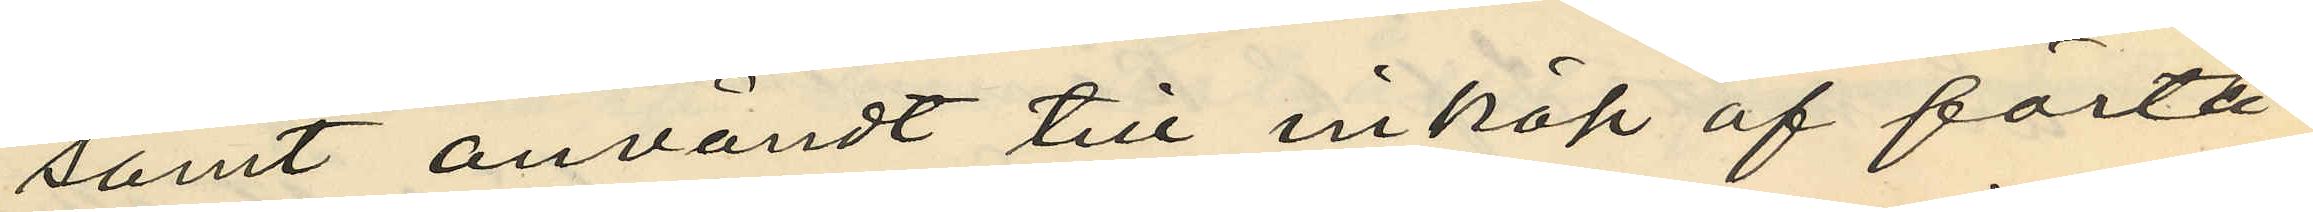samt användt till inköp af förtä¬
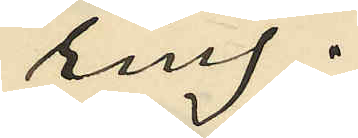ring;
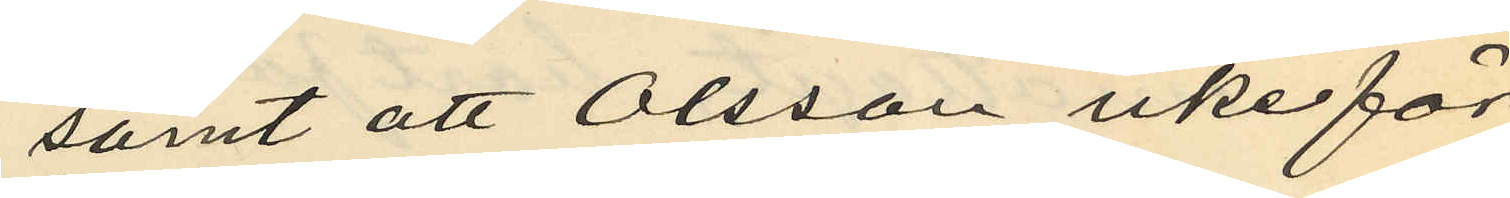samt att Olsson icke för
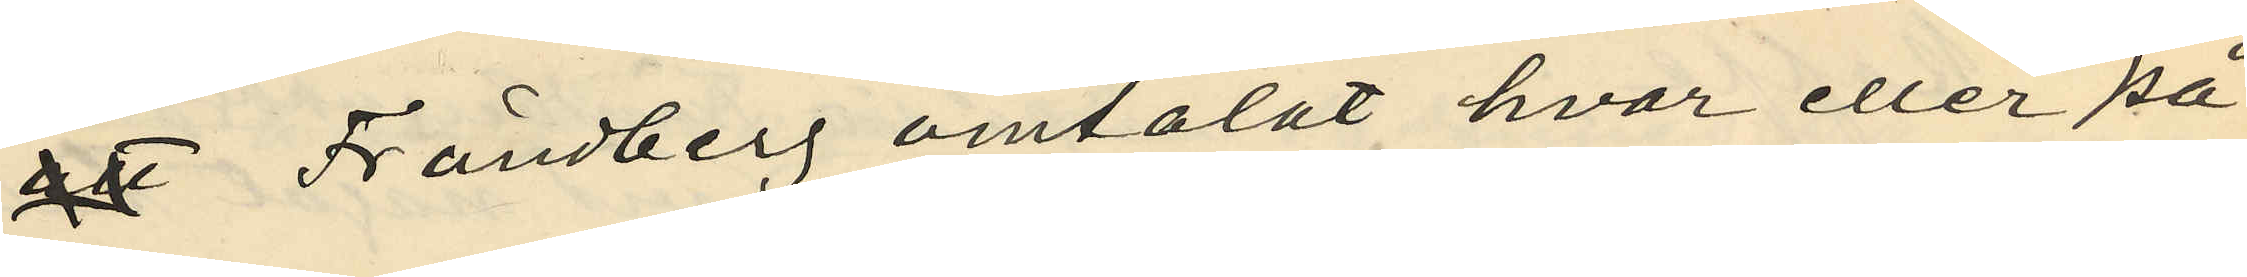 Frändberg omtalat hvar eller på
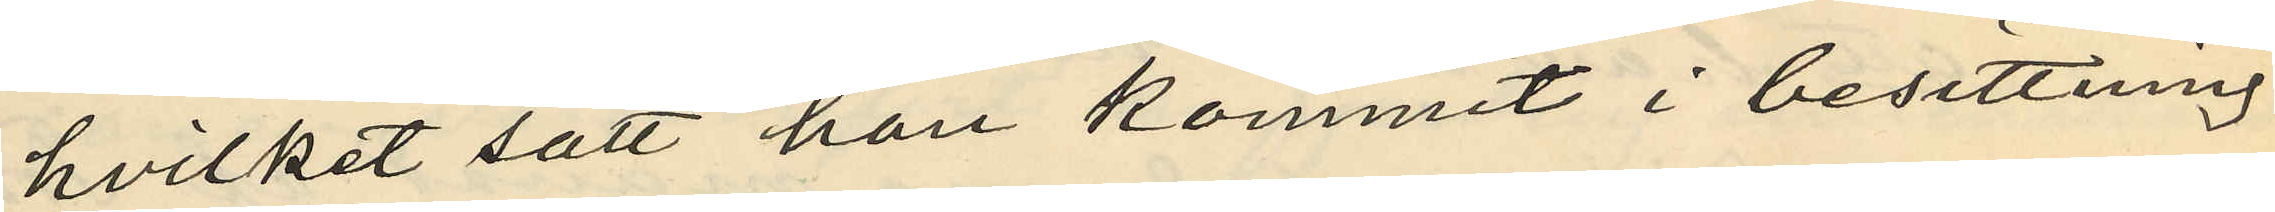hvilket sätt han kommit i besittning
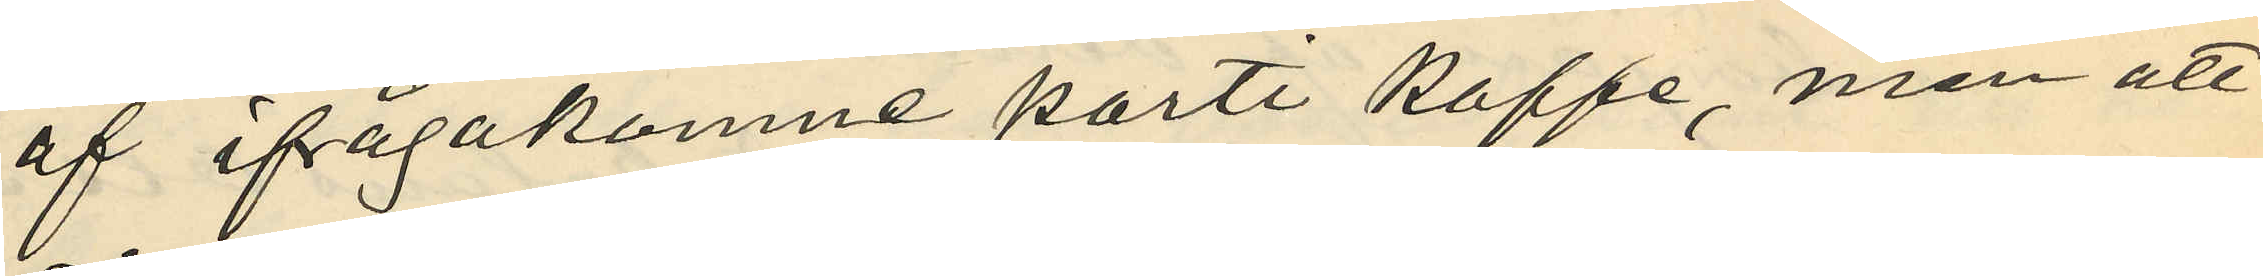af ifrågakomne parti kaffe, men att
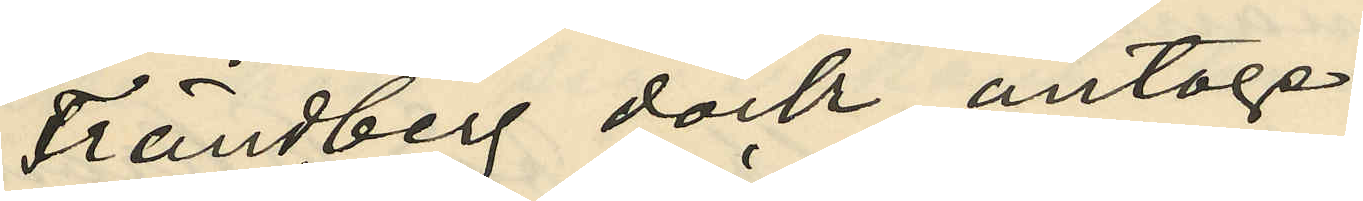Frändberg dock antoge
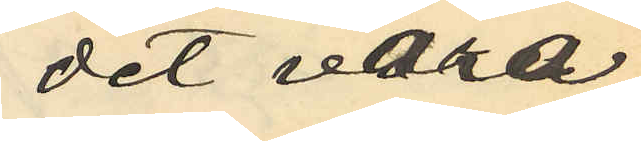det vara
